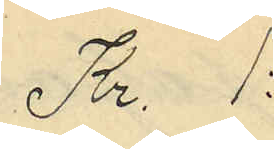Kr. 1:
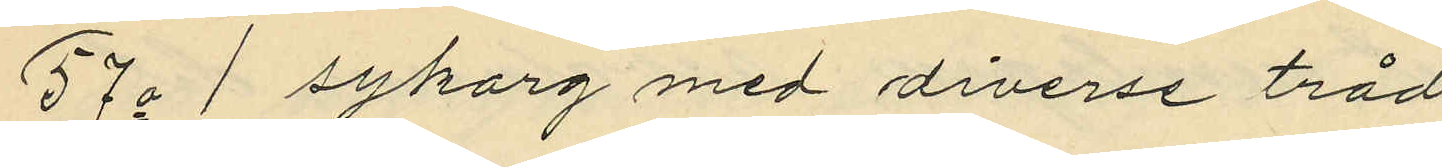57o 1 sykorg med diverse tråd
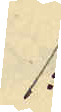1:
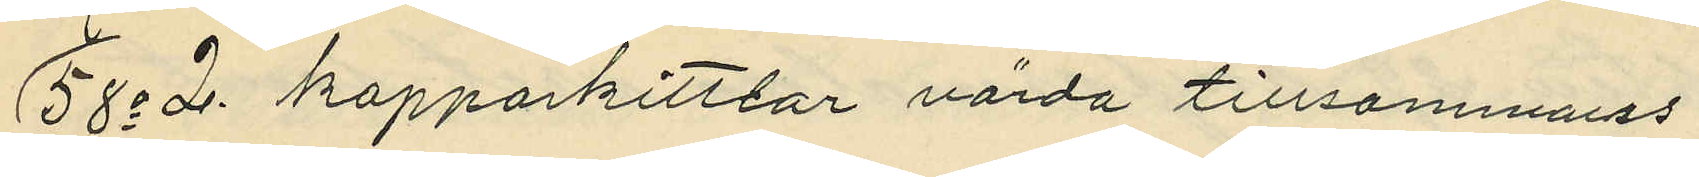58o 2 kopparkittlar värda tillsammans
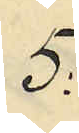5:
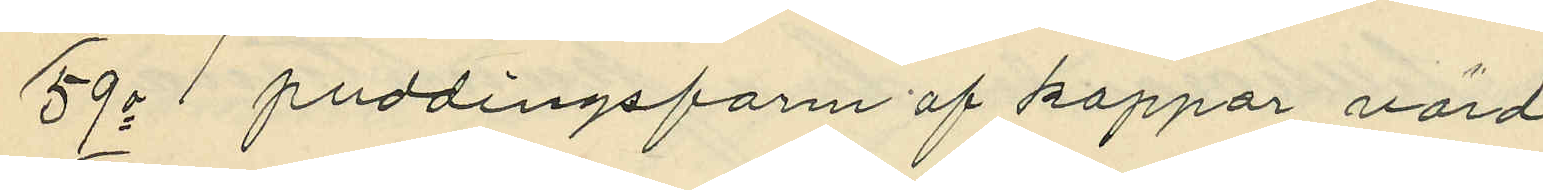59o 1 puddingsform af koppar värd
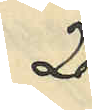2:
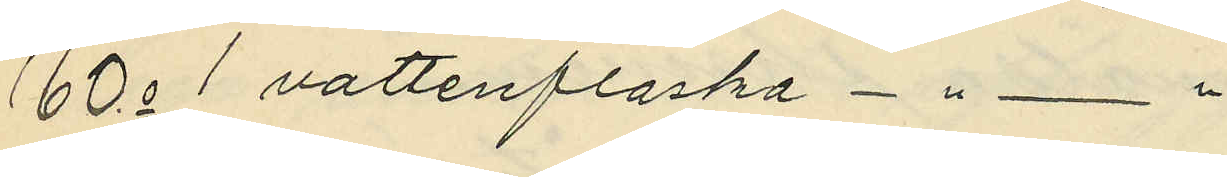60o 1 vattenflaska - " - "
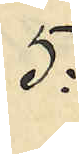5:
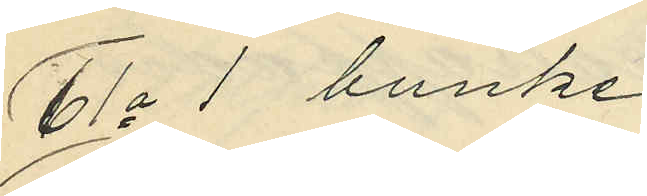61o 1 bunke
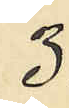3:
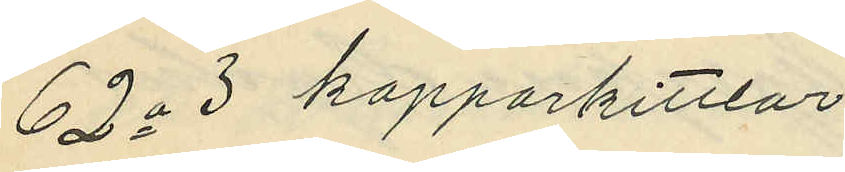62o 3 kopparkittlar
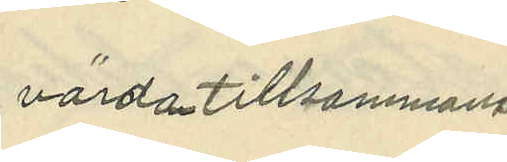värda tillsammans
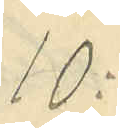10:
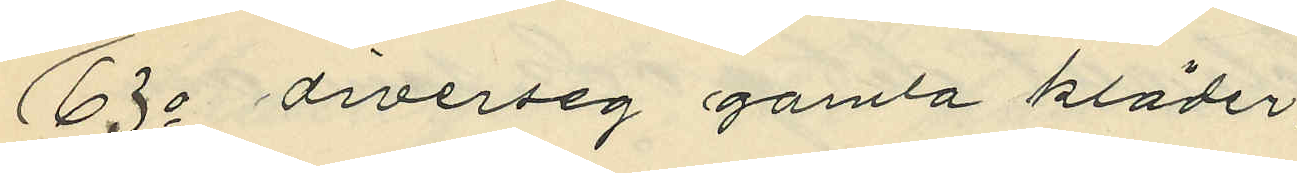63o diverseg gamla kläder
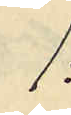1:
